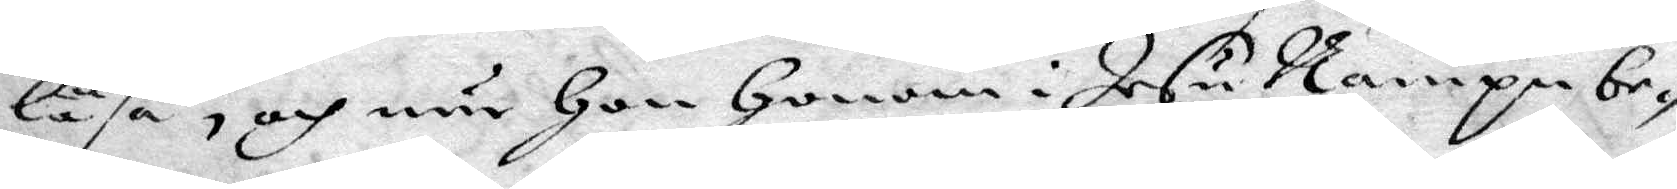läsa, och när Hon Honom i Jesu Nampn be¬
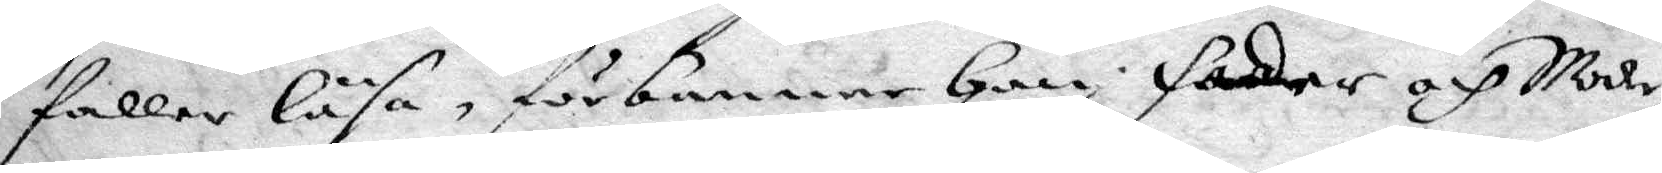faller läsa, förbannar Han Fader och Moder,
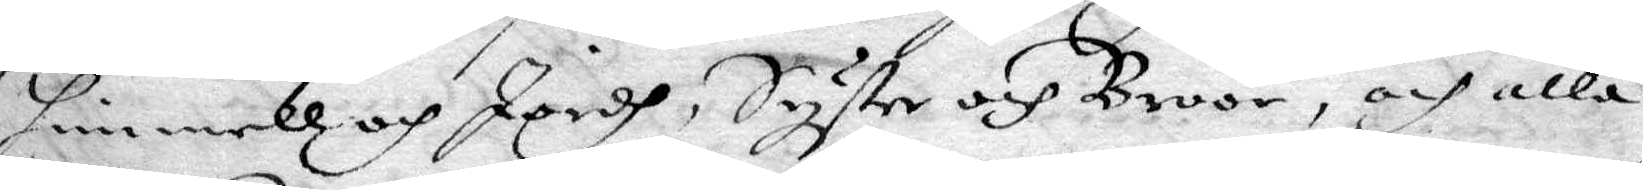himmell och Jordh, Syster och Broor, och alla
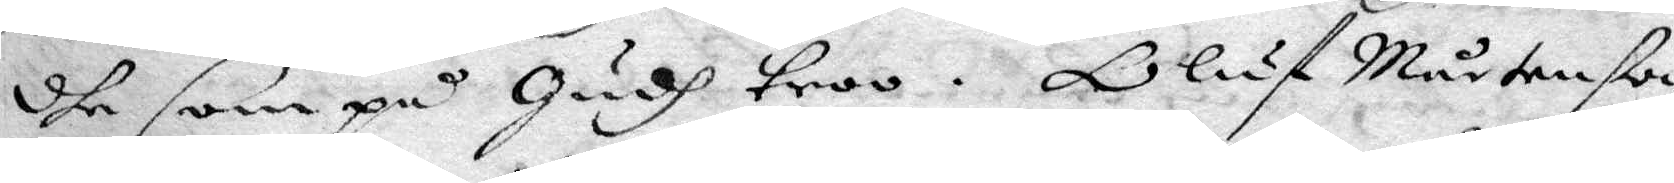dhe som på Gudh troo. Oluf Mårtenßon
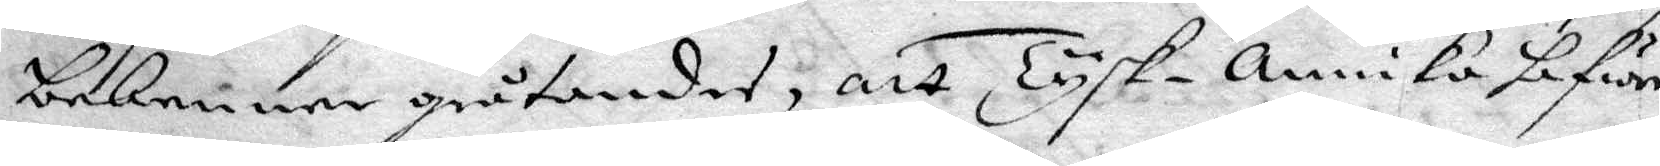bekenner gråtande, att Tysk-annika hafwer
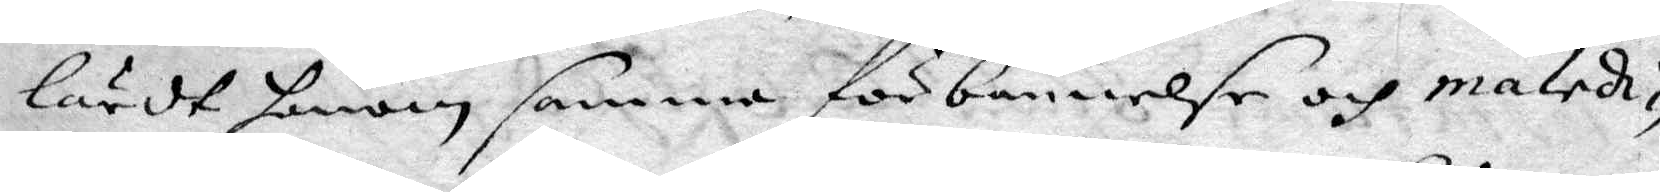lärdt honom samma förbannelse och malek¬
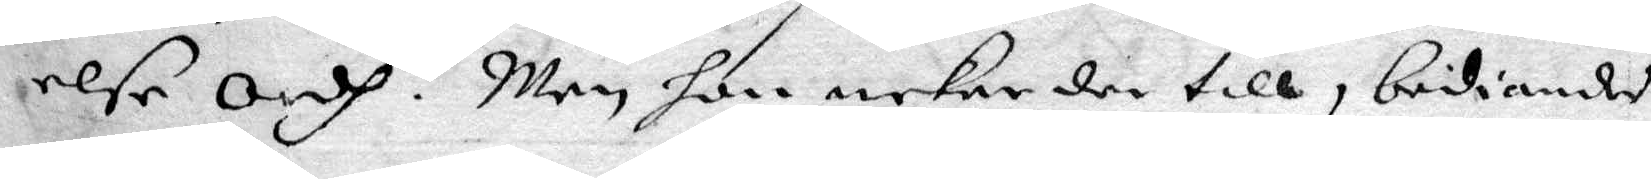else Ordh. Men hon nekar der till, bediandes
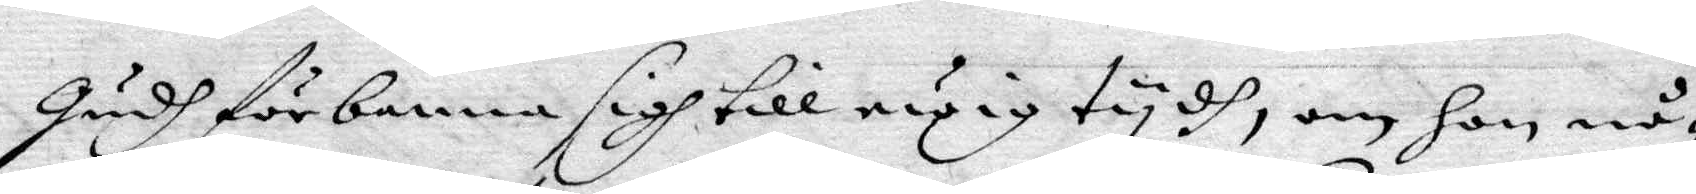gudh förbanna sigh till ewig tydh, om hon nå¬
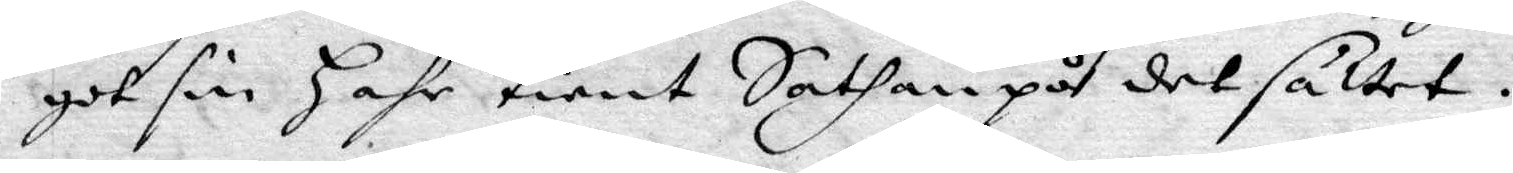got sin hahr tient Sathan på det sättet.
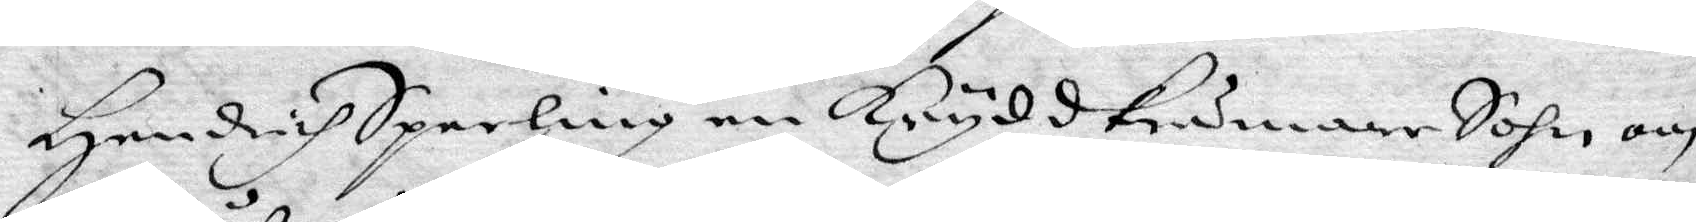Hendrich Sparling en Kryddkrämare Sohn, om
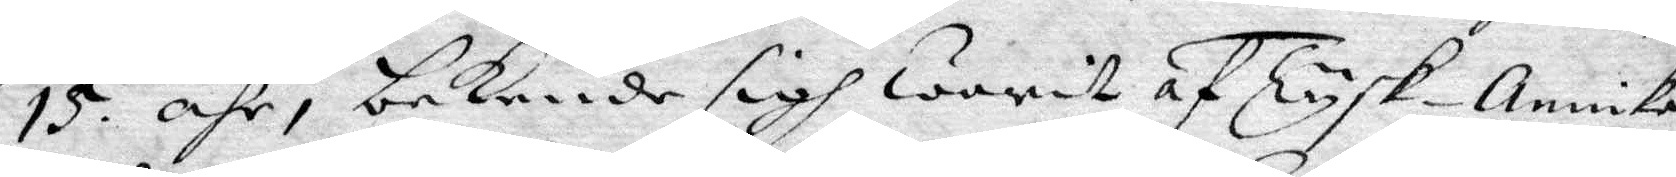15, åhr, bekende sigh warit af Tysk-annika
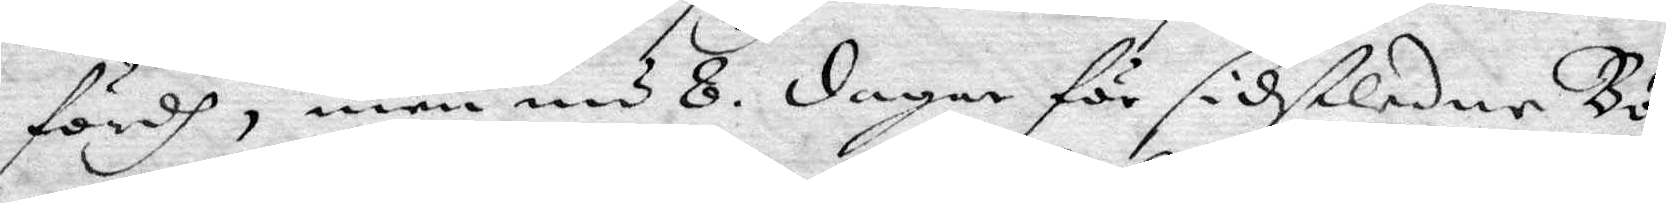fördh, men nu 8 dagar för sidstledne Bö¬
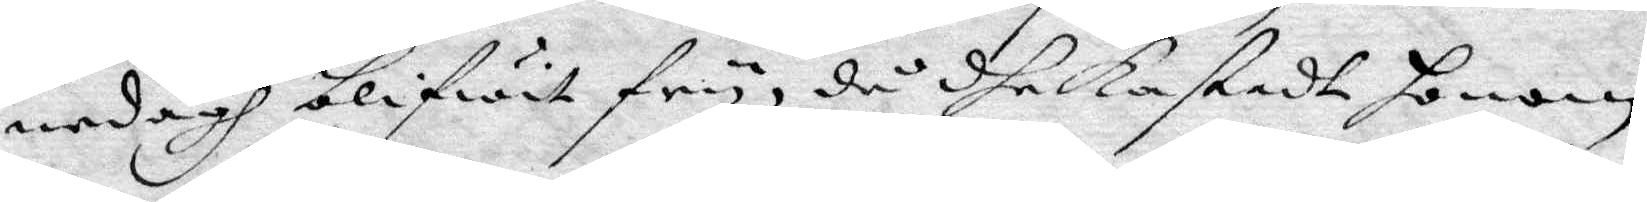nedagh blifwit fry, då dhe kastade honom
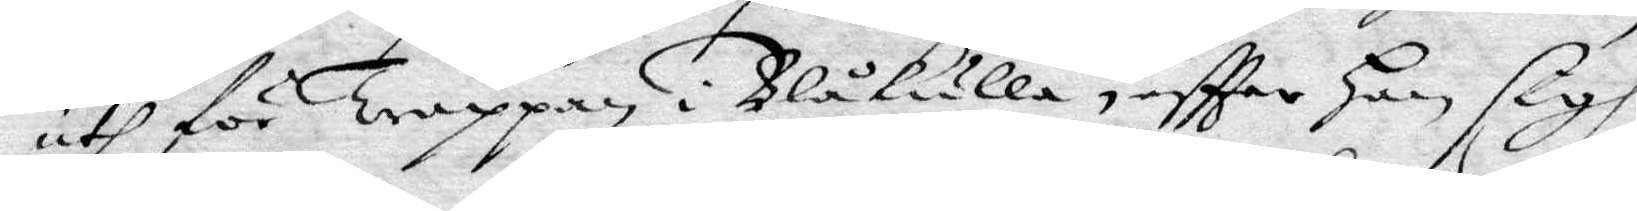uth för Trappan i Blåkulla, eftter han sigh
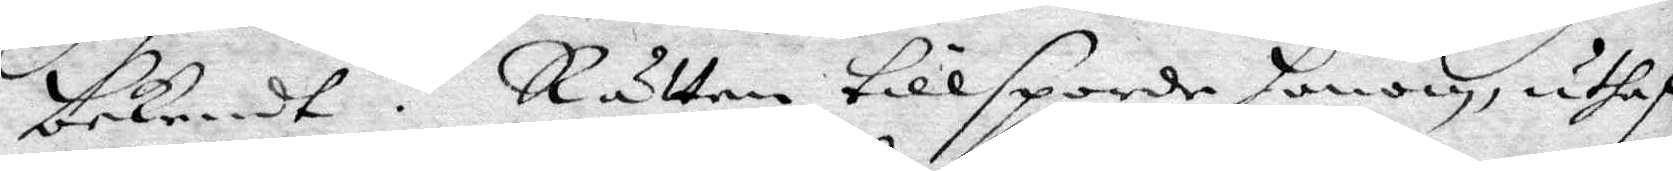bekendt. Rätten tillsporde honom, uthaf
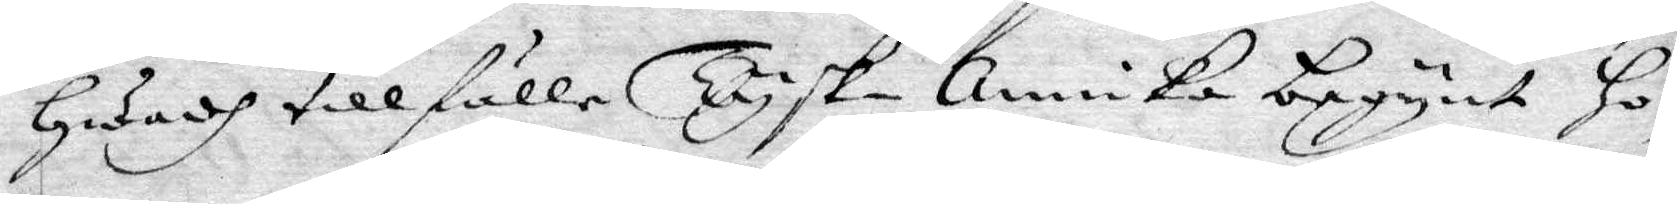Hwady tillfälle Tysk-annika begynte Hon¬
